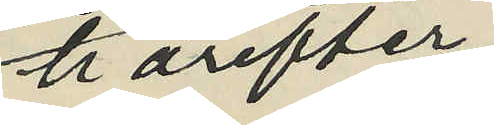härefter
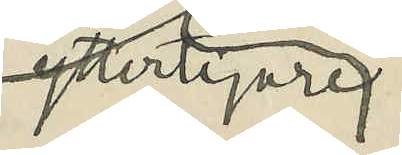ytterligare
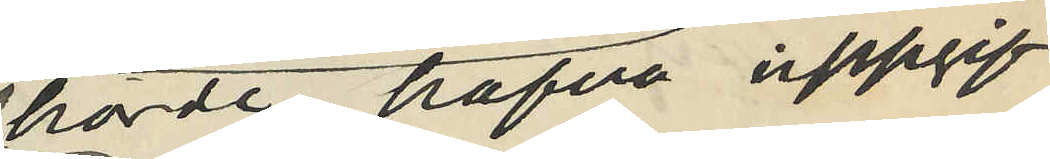hörde hafva uppgif¬
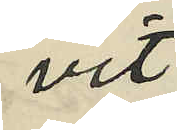vit
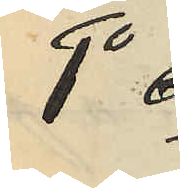1o
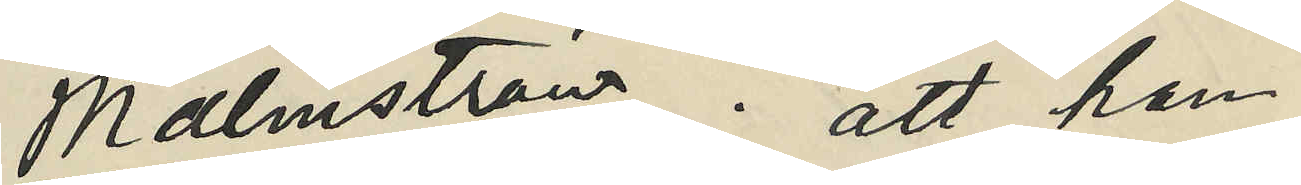Malmström: att han
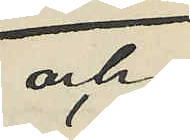och
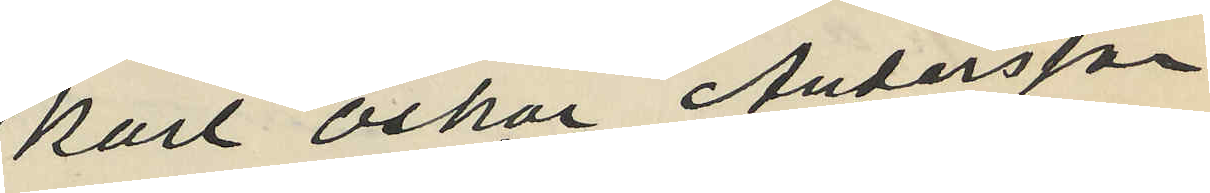Karl Oskar Andersson
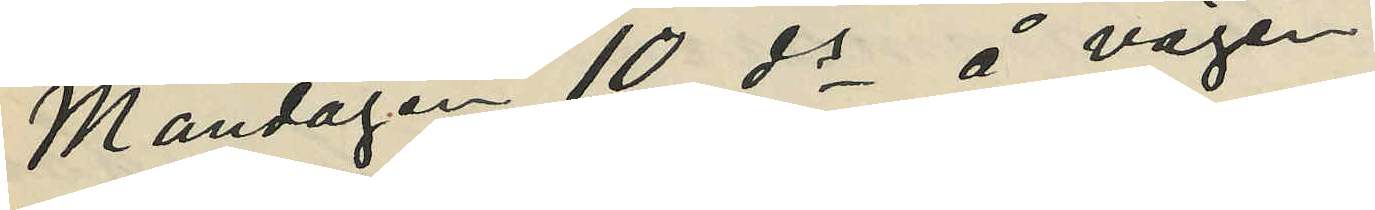Måndagen 10 ds å vägen
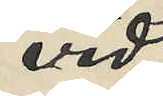vid
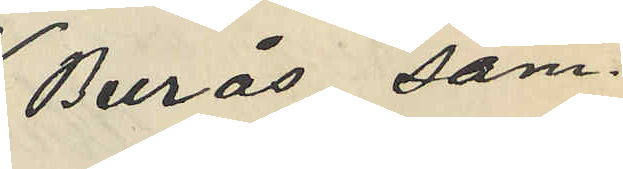Burås sam¬
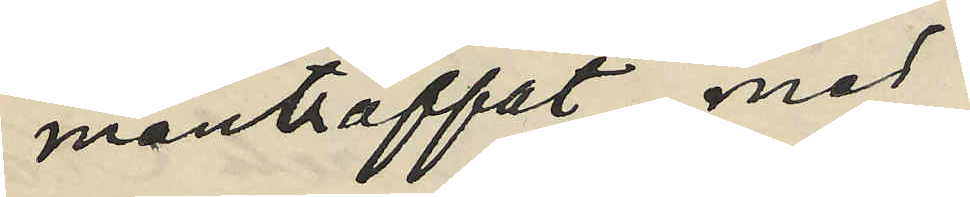manträffat med
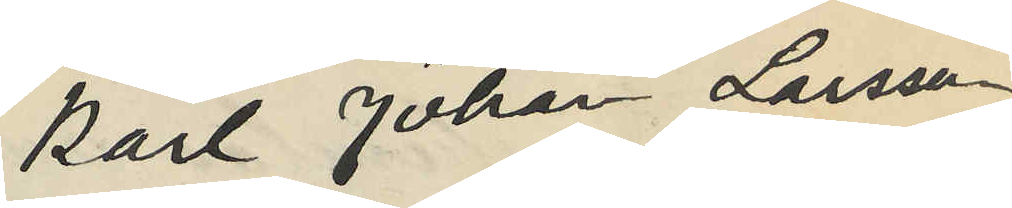Karl Johan Larsson,
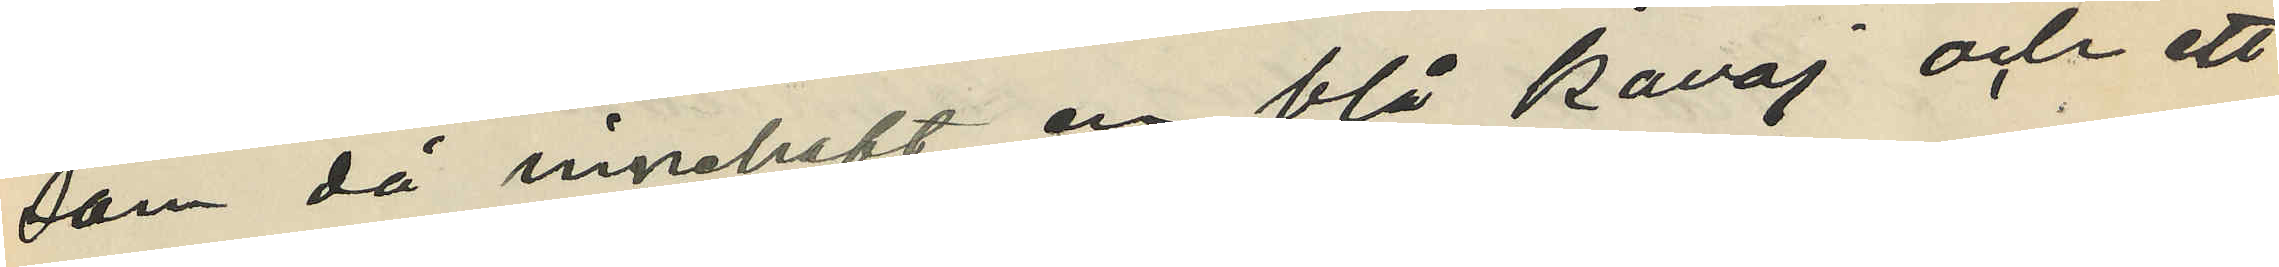som då innehaft en blå kavaj och ett
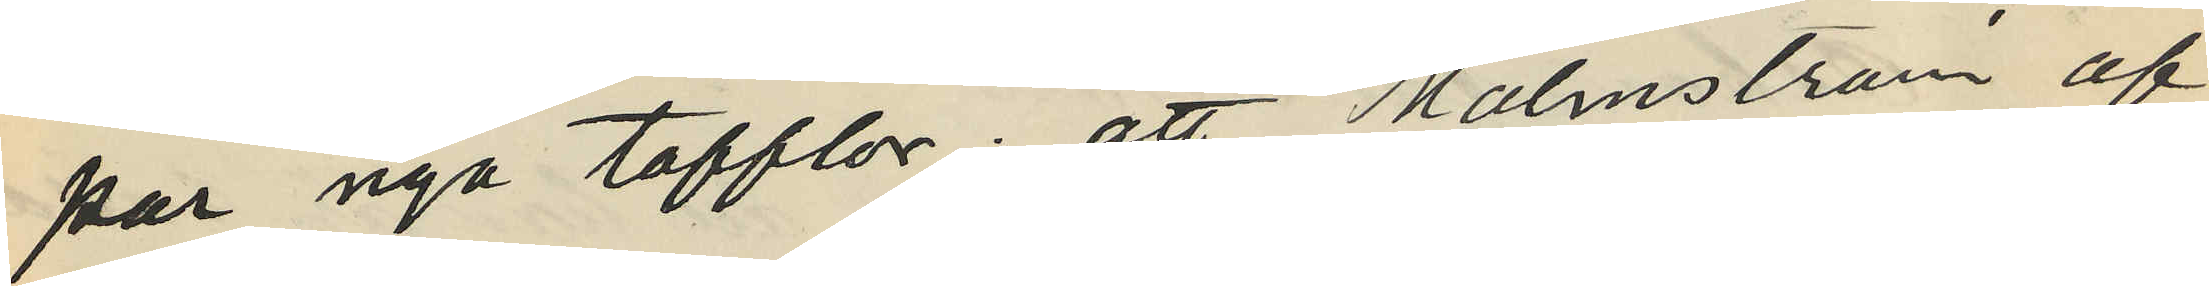par nya tofflor; att Malmström af
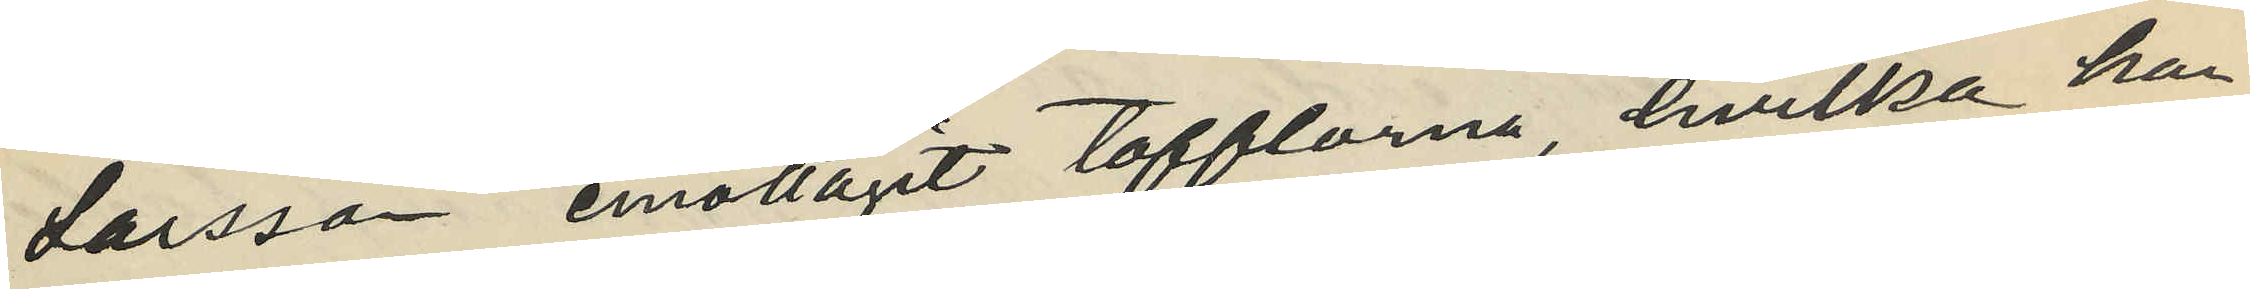Larsson emottagit tofflorna, hvilka han
